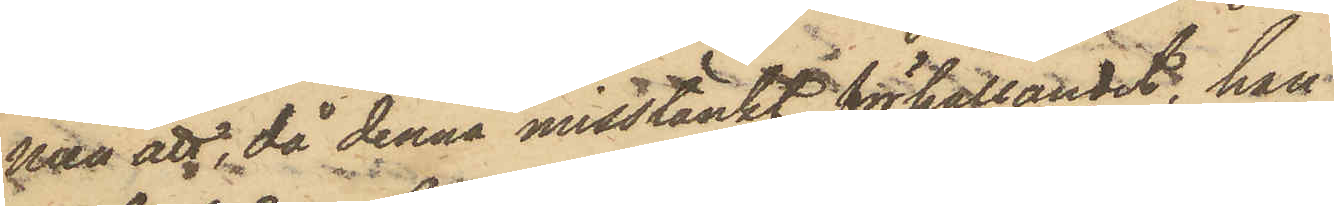men att, då denna misstänkt förhållandet, han
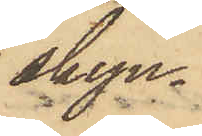skyn¬
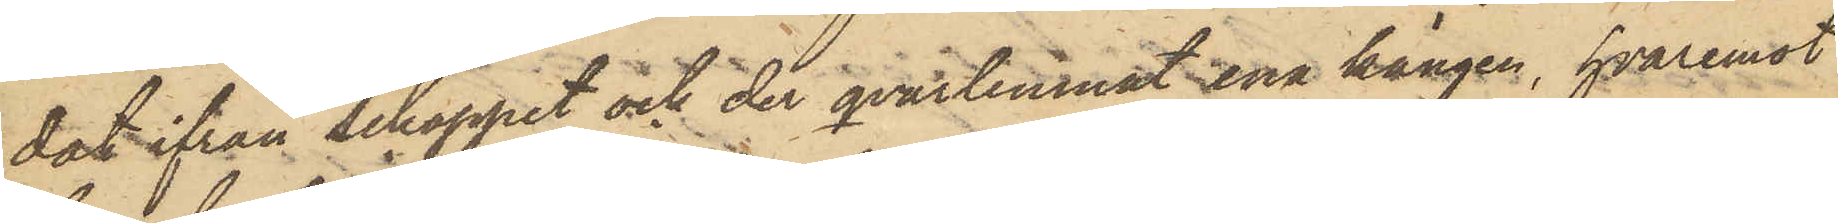dat ifrån Schappet och der qvarlemnat ena kängen, hvaremot
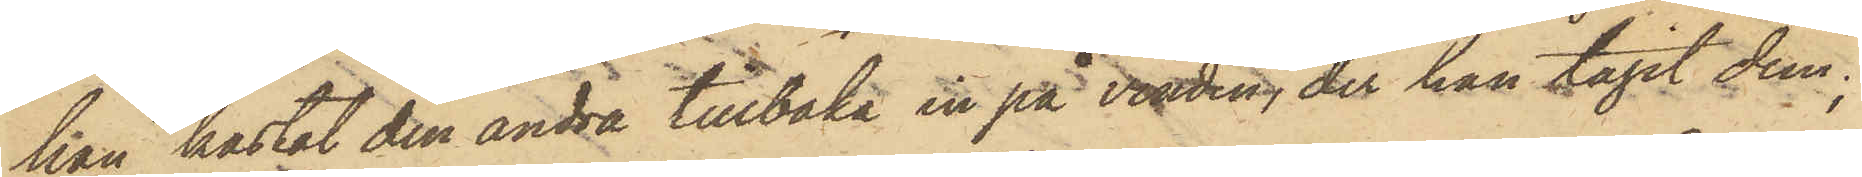han kastat den andra tillbaka in på vinden, der han tagit dem;
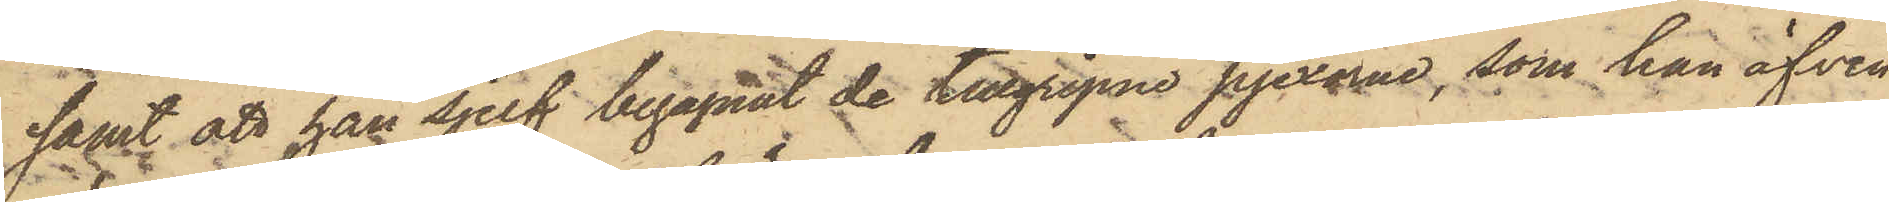samt att han sjelf begagnat de tillgripne pjexorna, som han äfven
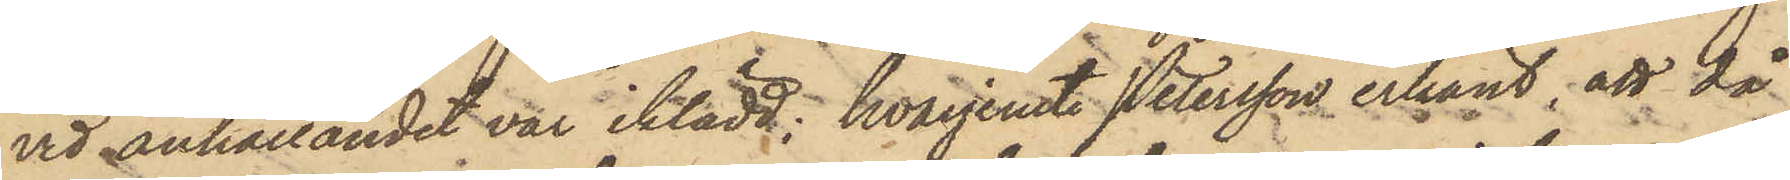vid anhållandet var iklädd; hvarjemte Petersson erkänt; att då
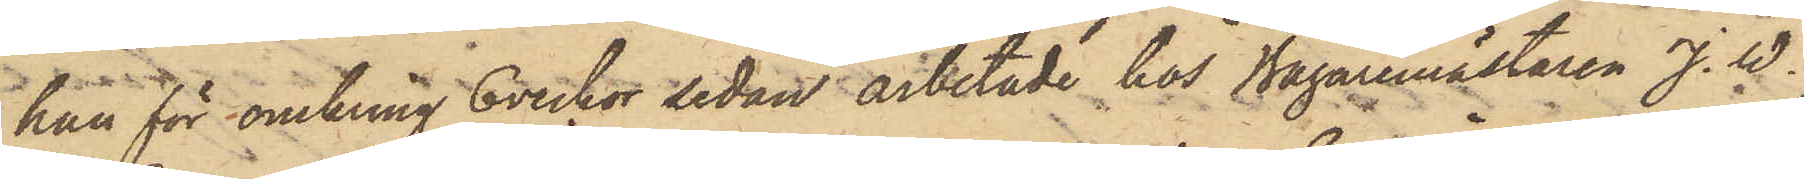han för omkring 6 veckor sedan arbetade hos Bagaremästaren J. W.
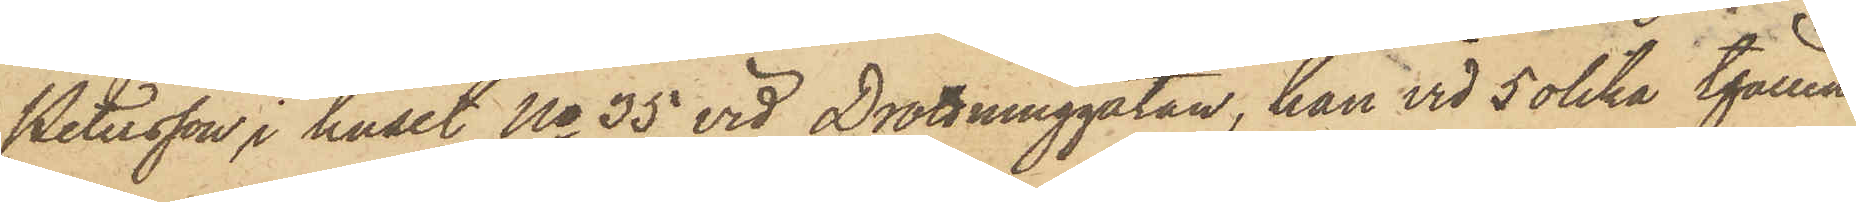Petersson i huset No 35 vid Drottninggatan, han vid 5 olika tfällen
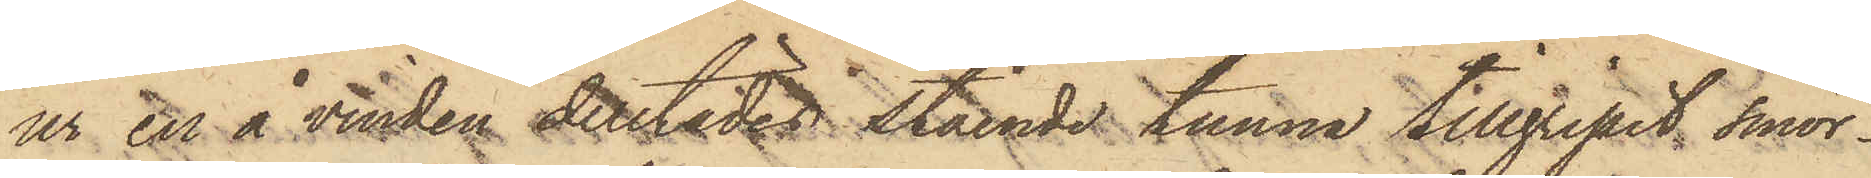ur en å vinden derstädes stående tunna tillgripit smör¬
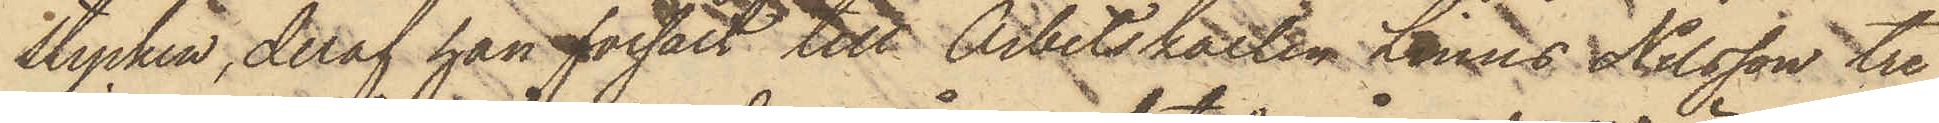stycken, deraf han försålt till Arbetskarlen Linus Nilsson tre
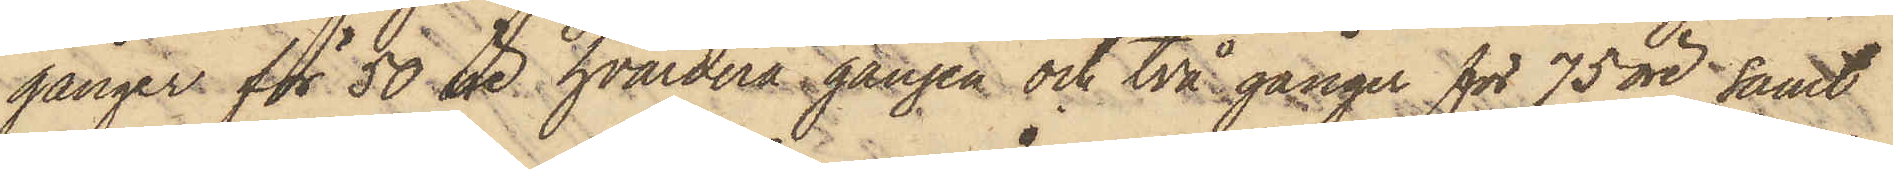gånger för 50 öre hvardera gången och två gånger för 75 öre samt
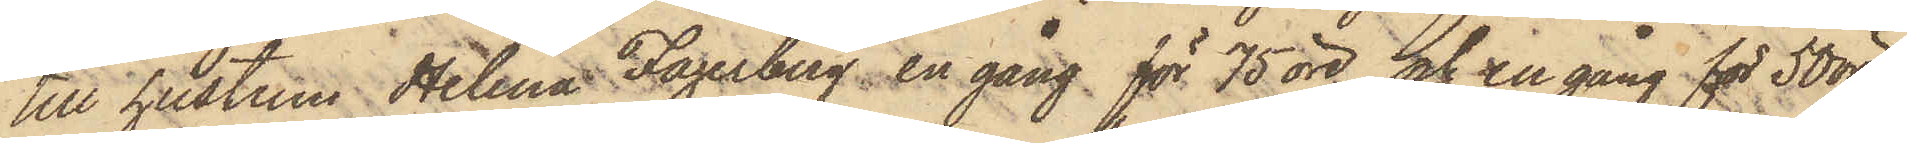till hustrun Helena Fagerberg en gång för 75 öre, och en gång för 50 öre;
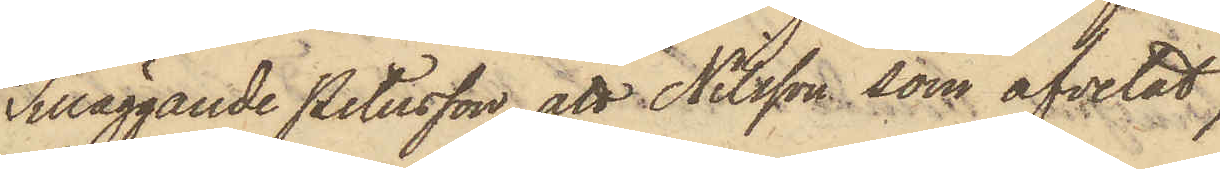Tilläggande Petersson att Nilsson, som afvetat
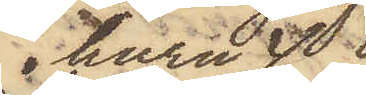huru
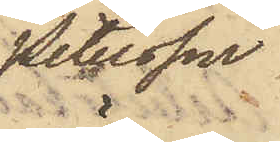Petersson
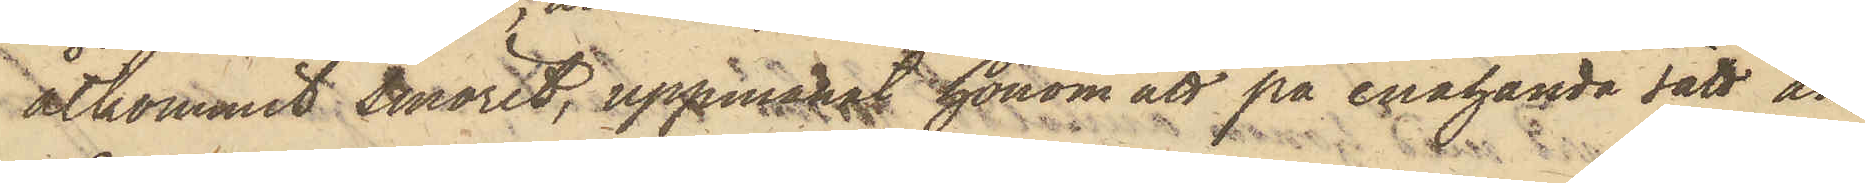åtkommit smöret, uppmanat honom att på enahanda sätt an¬
